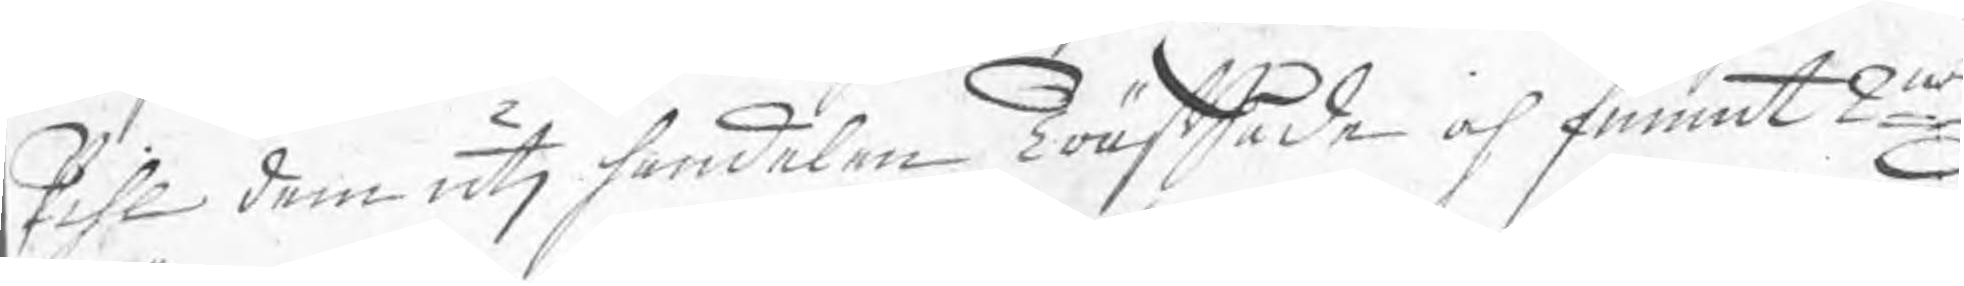Pihl dem uti handelen Träffade och funnit 2ne
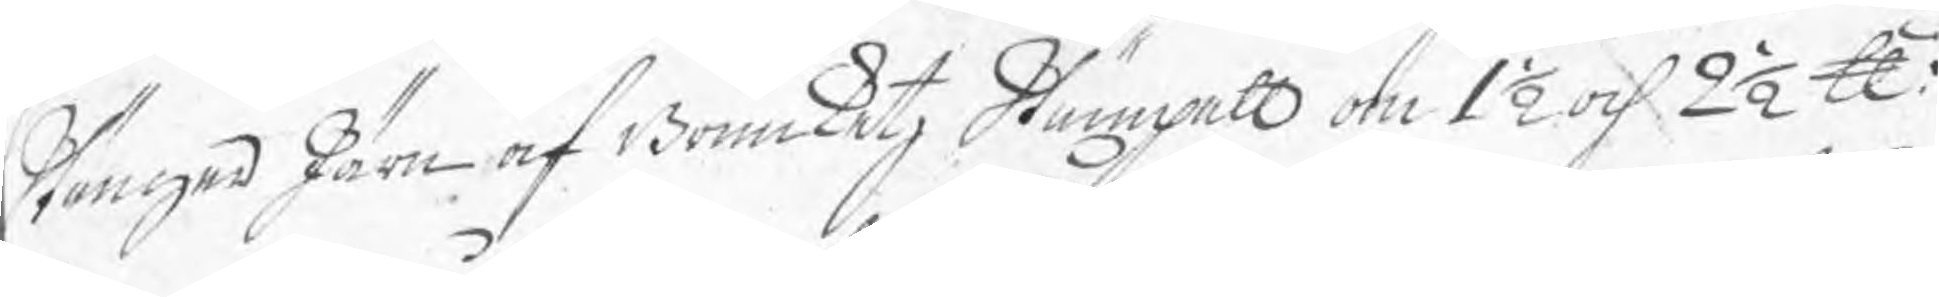Stänger Järn af Bruuketz Stämpell om 1½ och 2½ ℔.
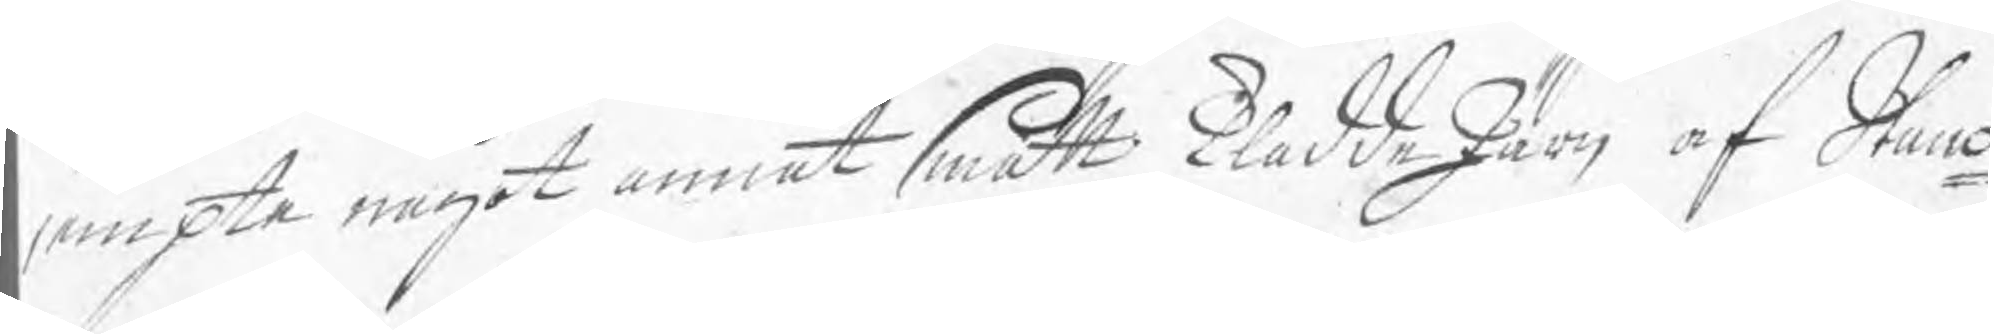jempte något annat smått KladdeJärn af Stano¬
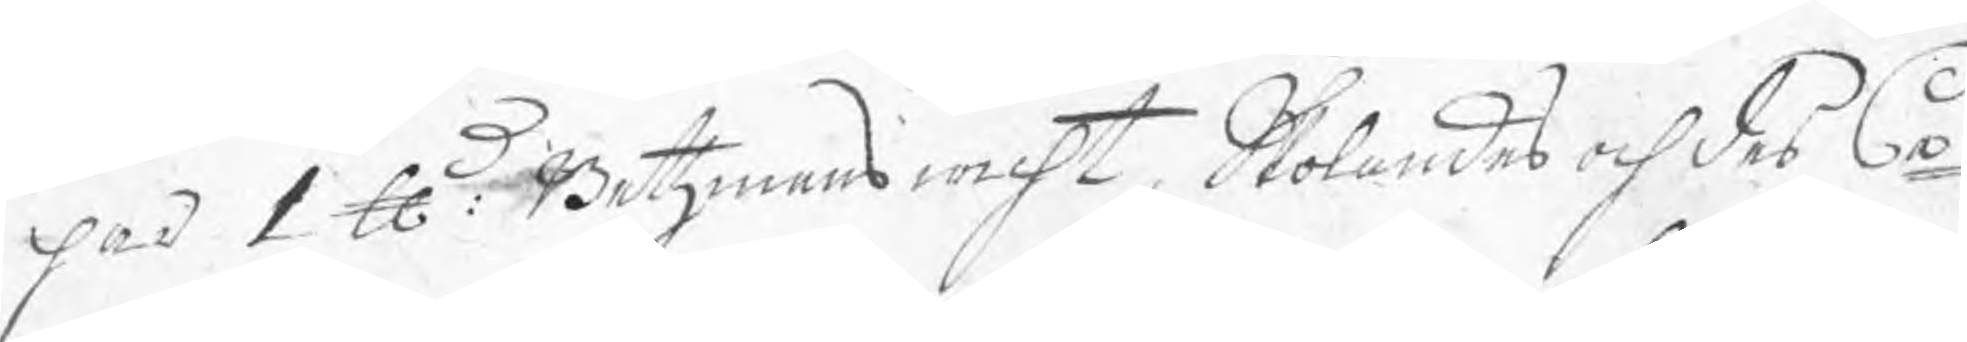har 1 ℔: Betzmanswicht, Skolandes och des Ca¬
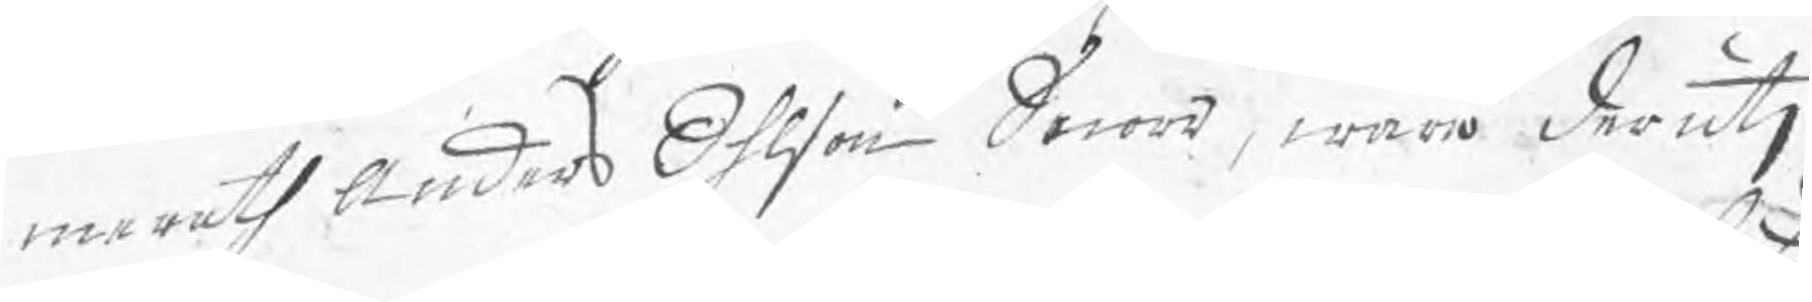merath Anders Ohlson Snora, Wara derutj
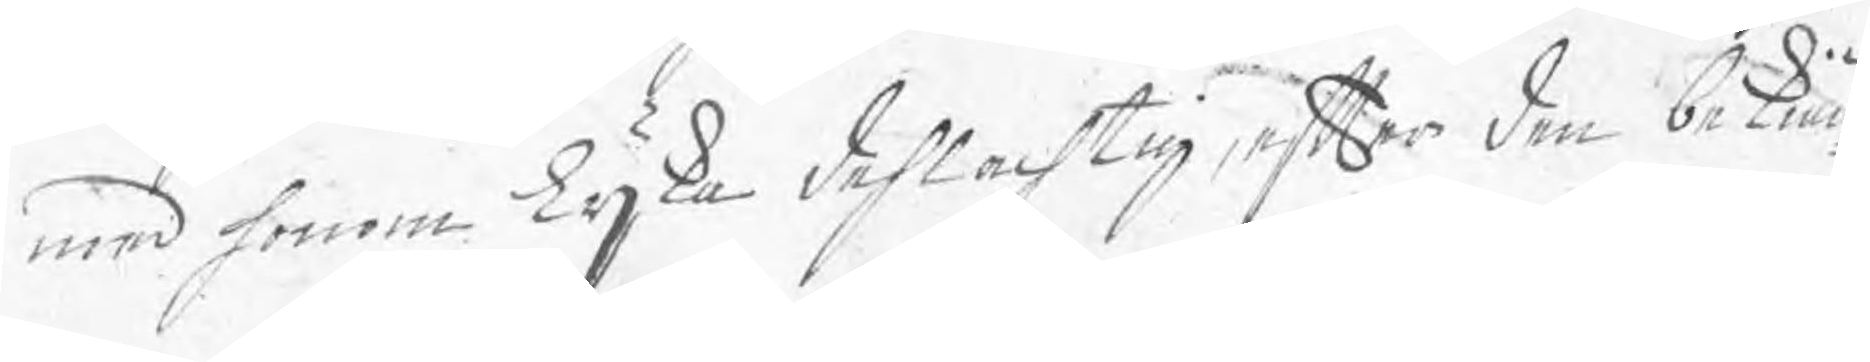med honom lijka dehlachtig, efter den dekiän¬
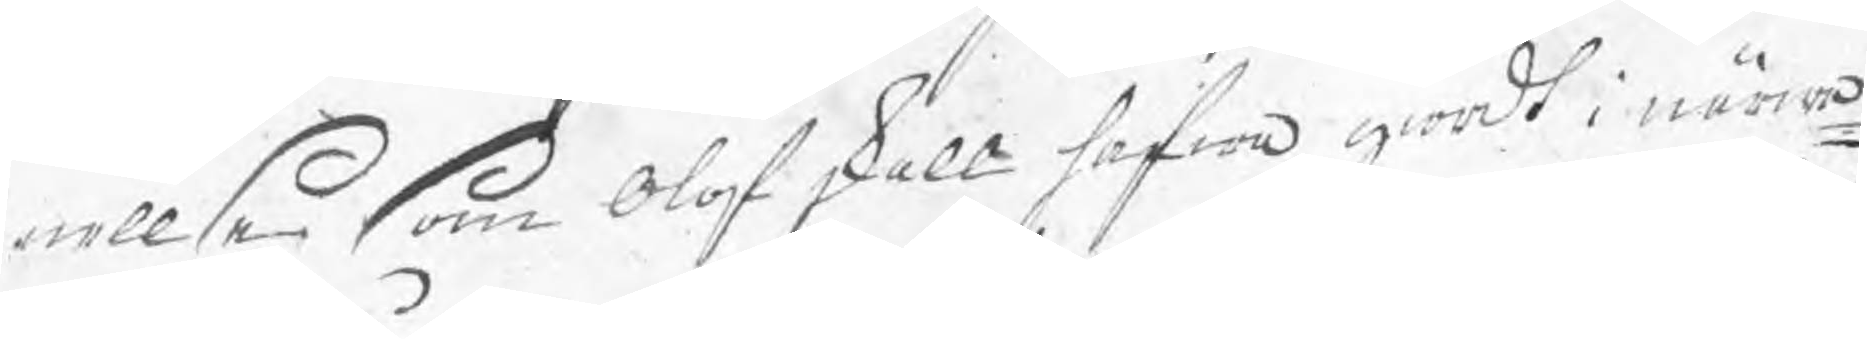nellse som Olof skall hafwa giordt i närwa¬
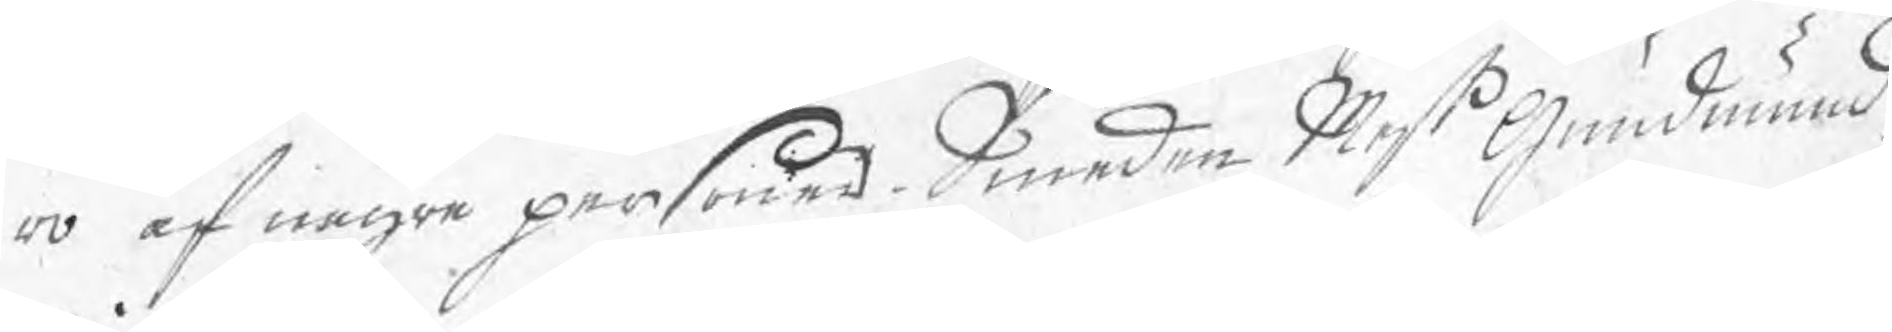ro af några personer. Smeden Mest Gundmund
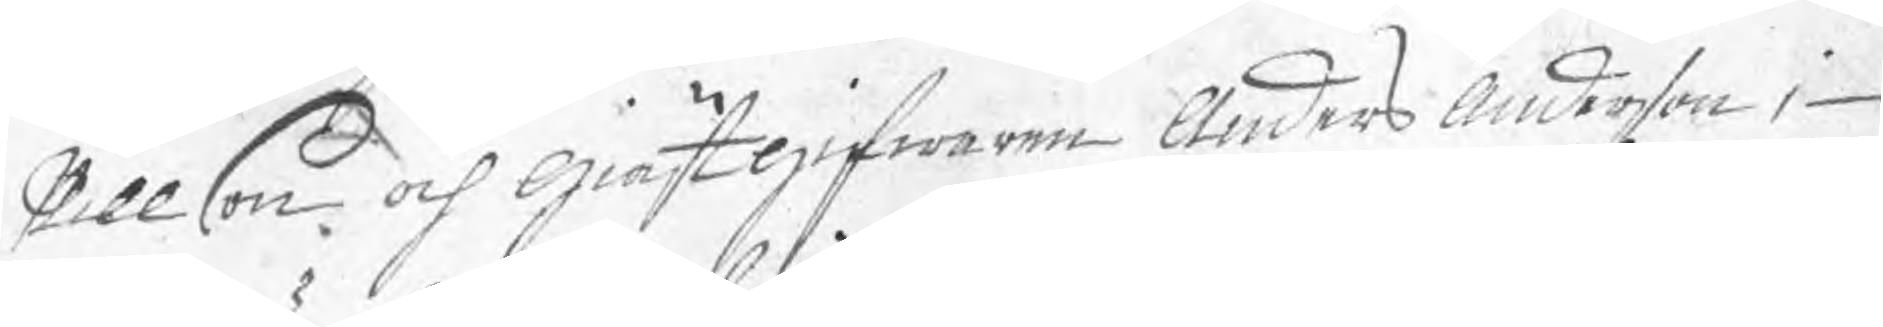Nillson och Giästgifwaren Anders Anderson i
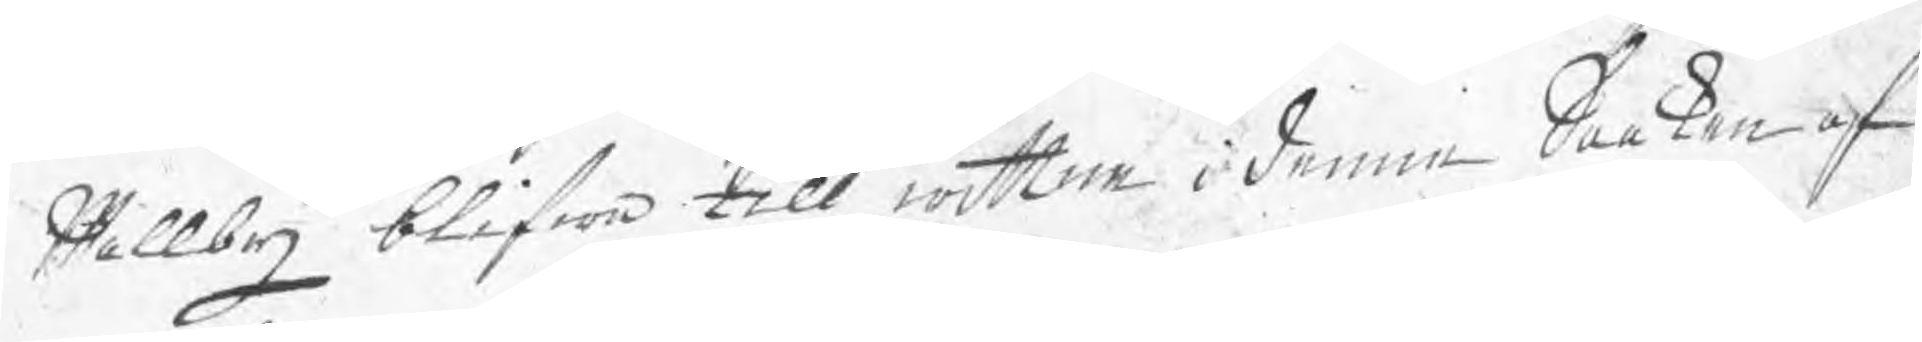Wallby blifwa till wittne i denne Saaken af 
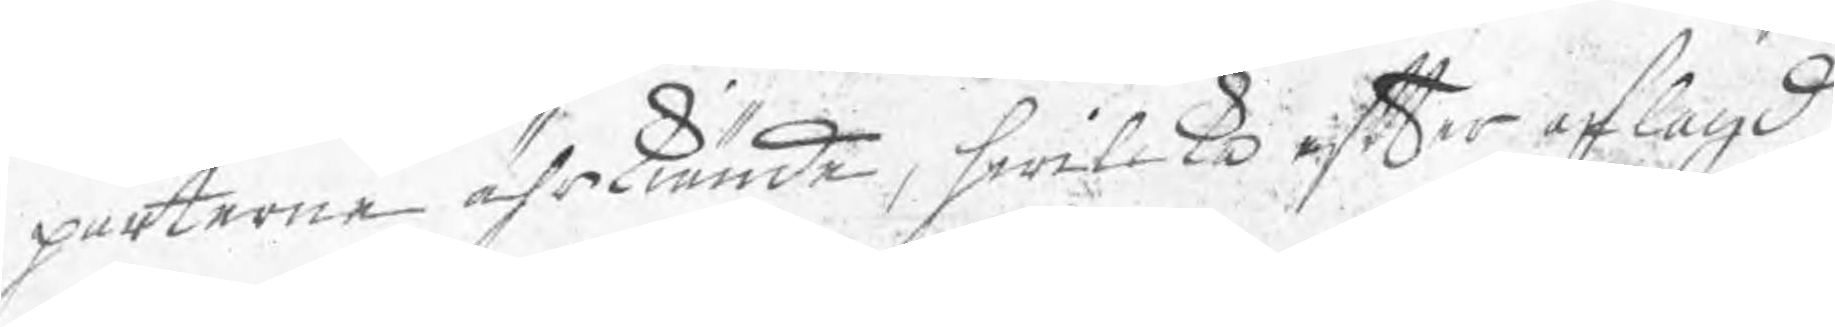parterne ährkiände, hwilka efter aflagd
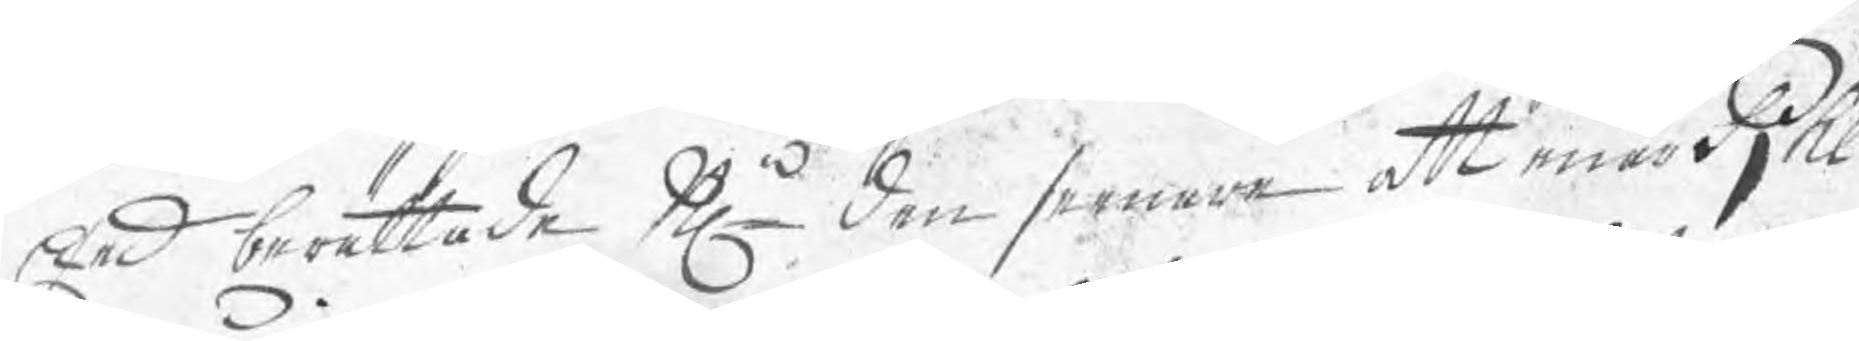Eed berättade Nn den senare att enär Pjhl
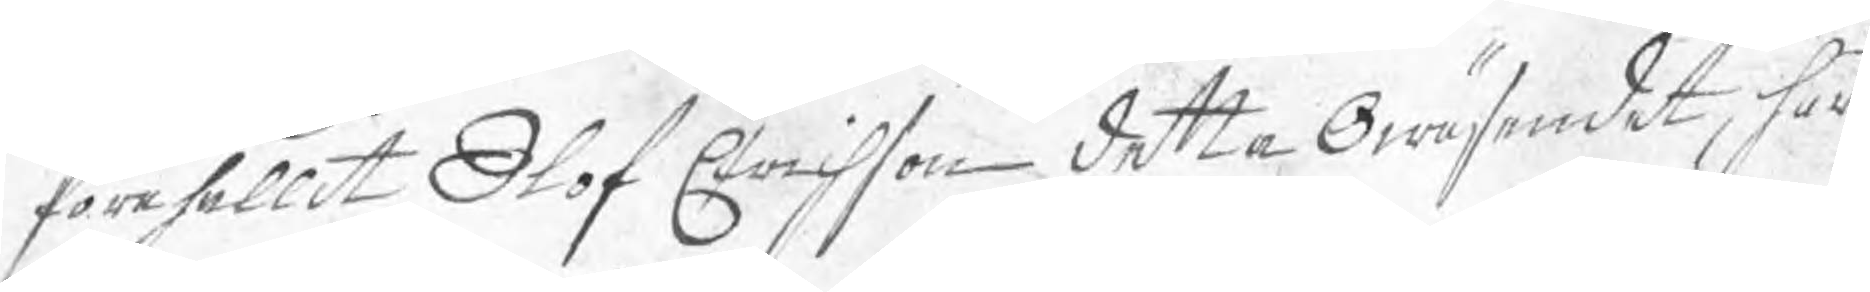förehållit Olof Erichson detta Owäsendet, har
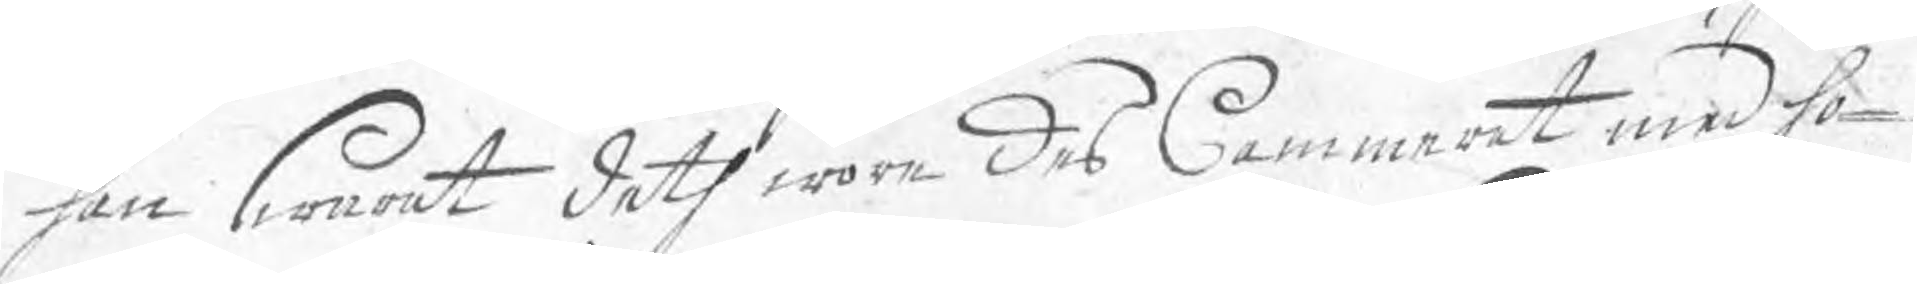han swarat deth wore des Cammerat med ho¬
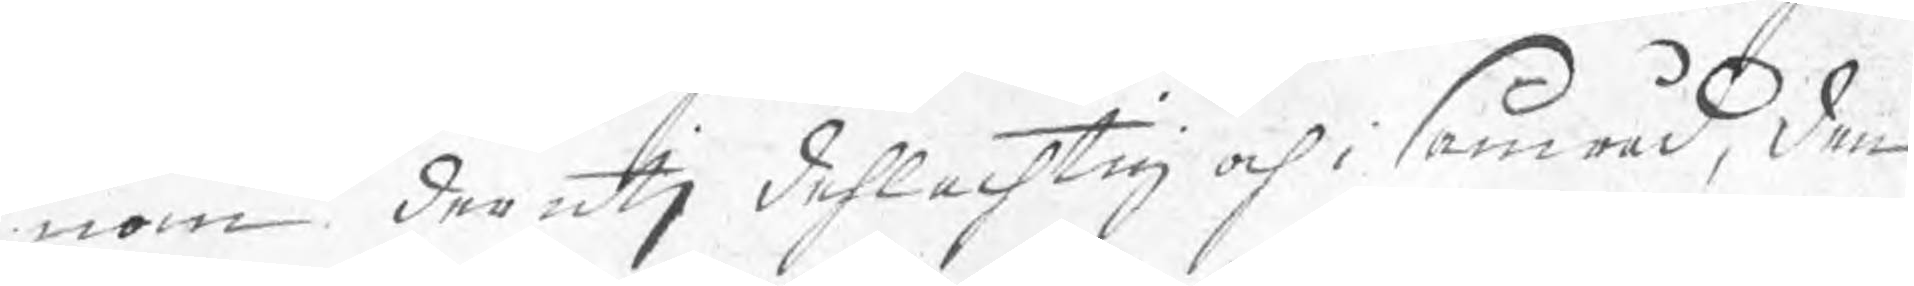nom derutj dehlachtig och i samråd, den
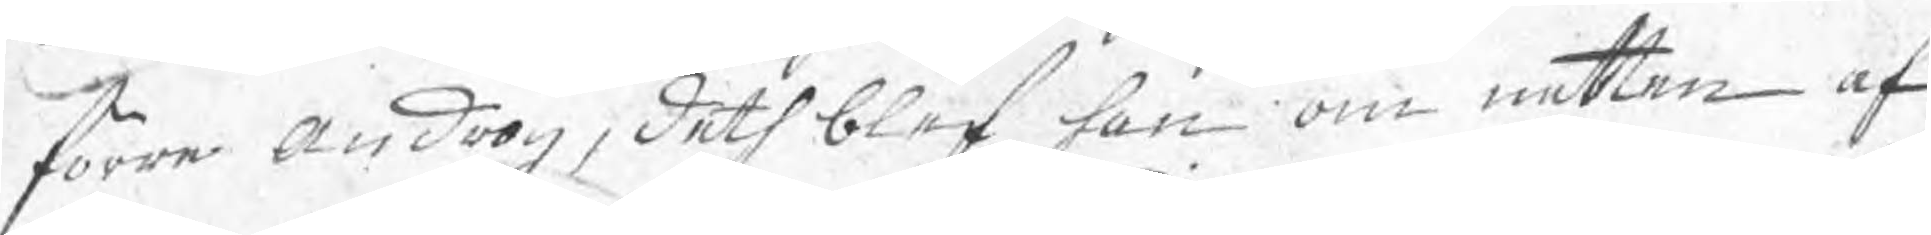förre androg, deth blef han om natten af
